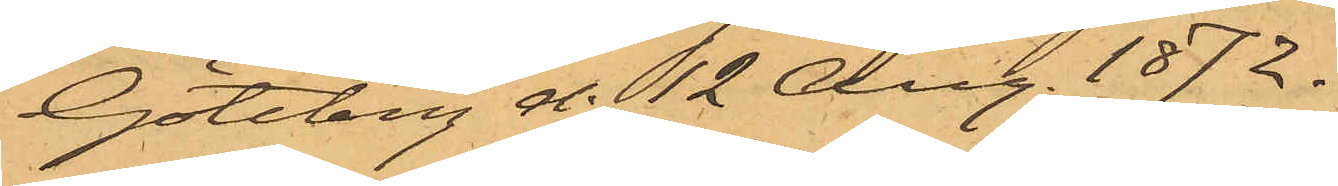Göteborg d. 12 Aug. 1872.
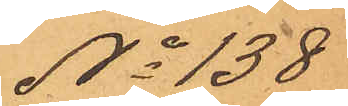No 138
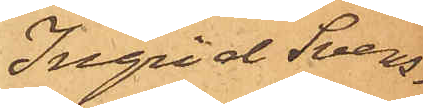Ingrid Svens¬
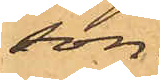son.
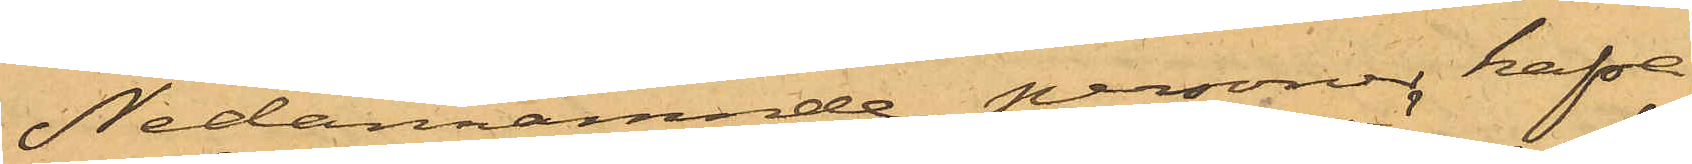Nedannämnde personer hafva
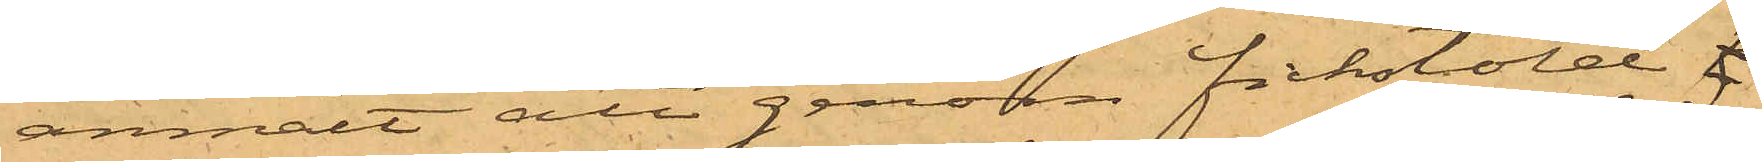anmält att genom fickstöld t
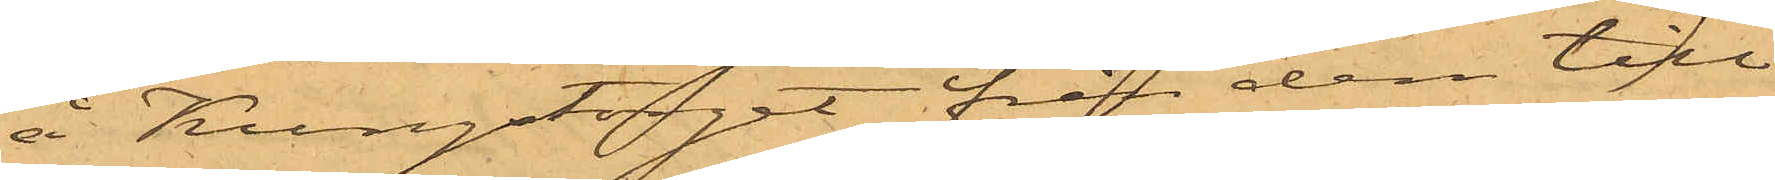å Kungstorget från dem till¬
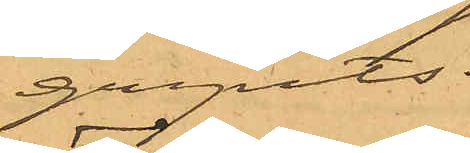gripits.
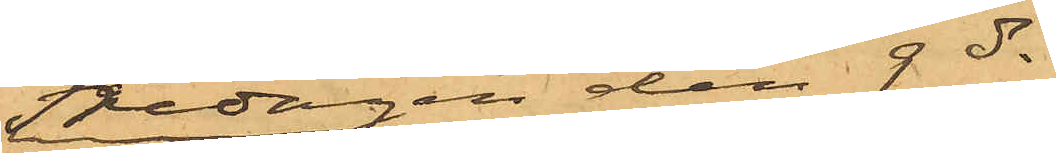Fredagen den 9 ds
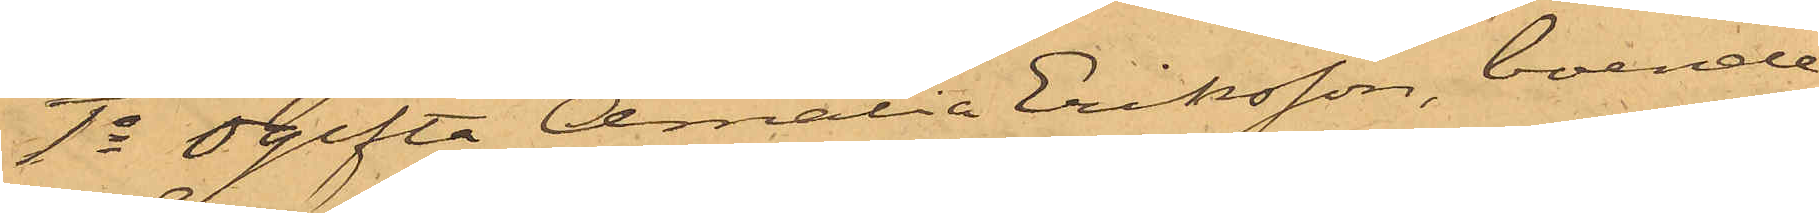1o Ogifta Amalia Eriksson, boende
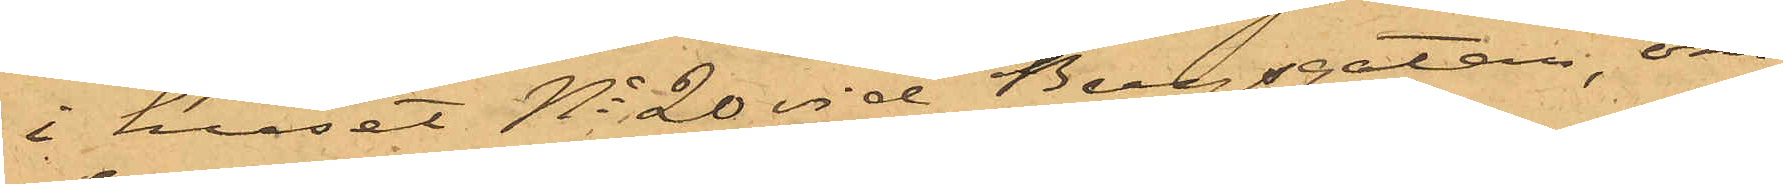i huset No 20 vid Bergsgatan, om¬
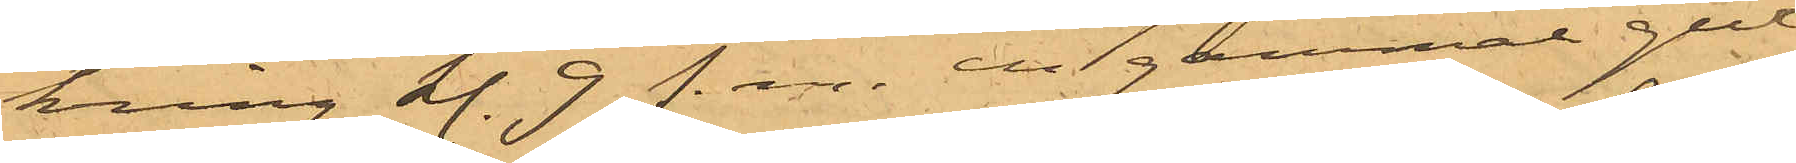kring kl. 9 f. m. en gammal gul
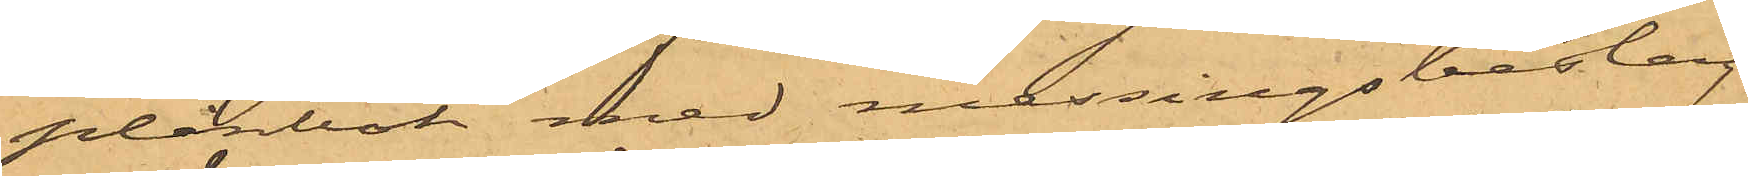plånbok med messingsbeslag
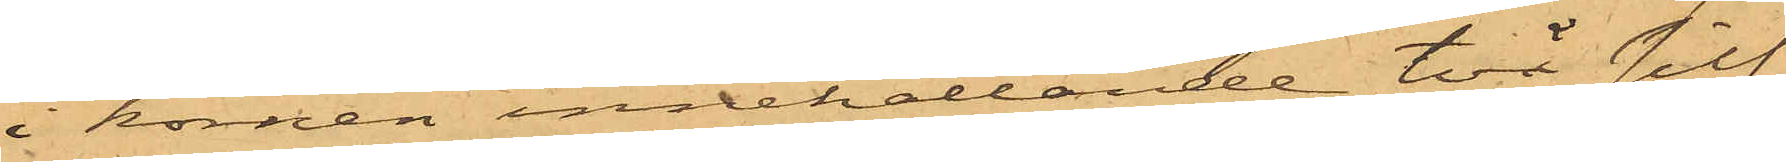i hörnen innehållande två silf¬
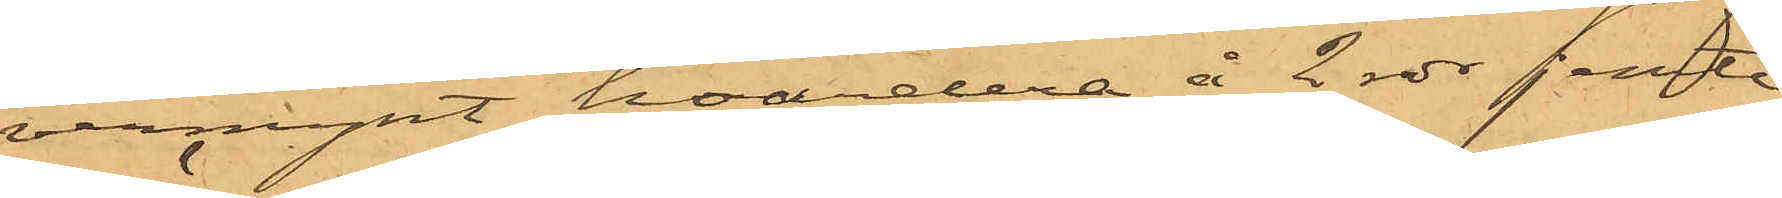vermynt hvardera å 2 rdr jemte
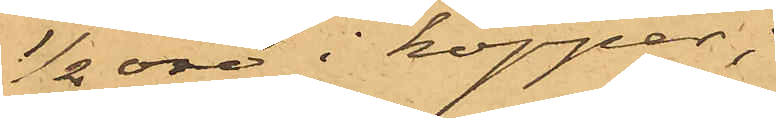1/2 öre i koppar;
